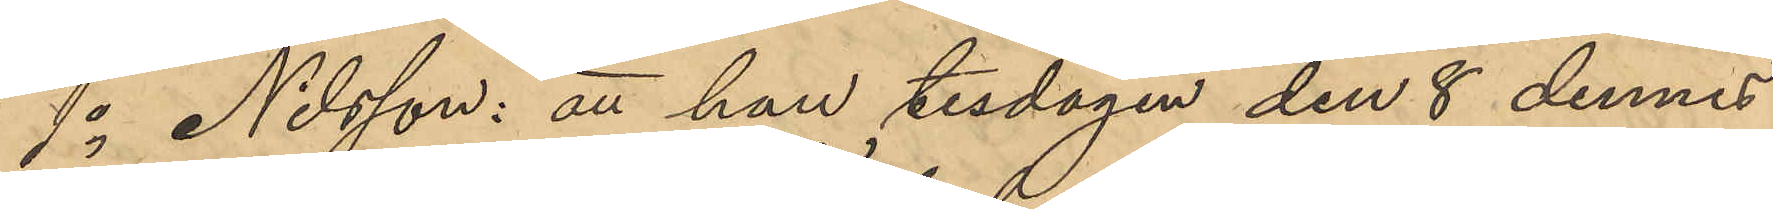1o Nilsson: att han tisdagen den 8 dennes
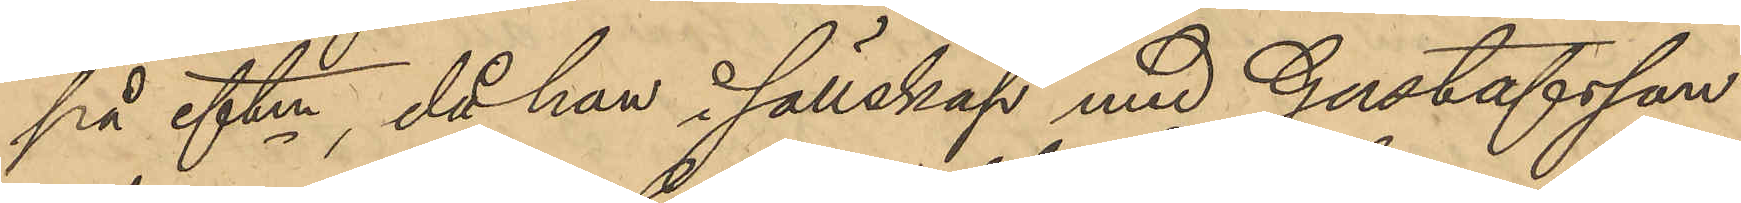på eftm, då han i sällskap med Gustafsson
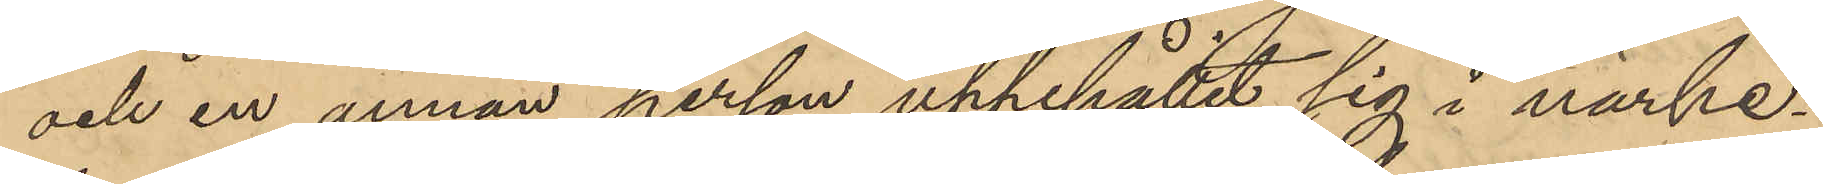och en annan person uppehållit sig i närhe¬
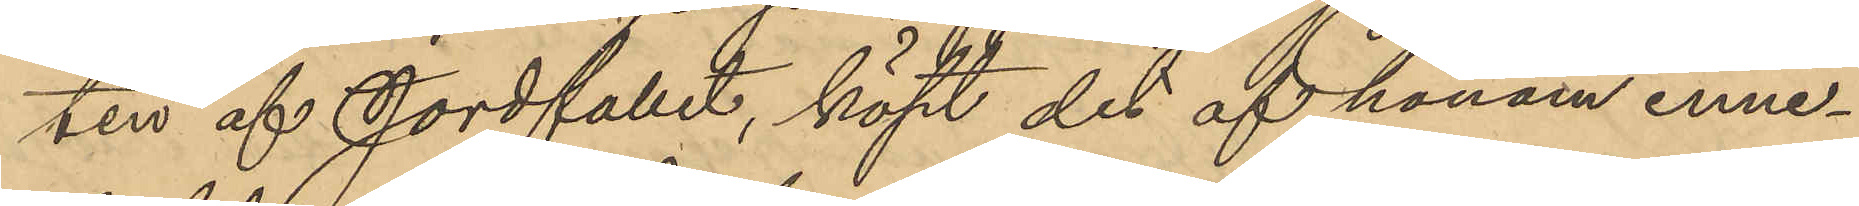ten af Jordfallet, köpt det af honom inne¬
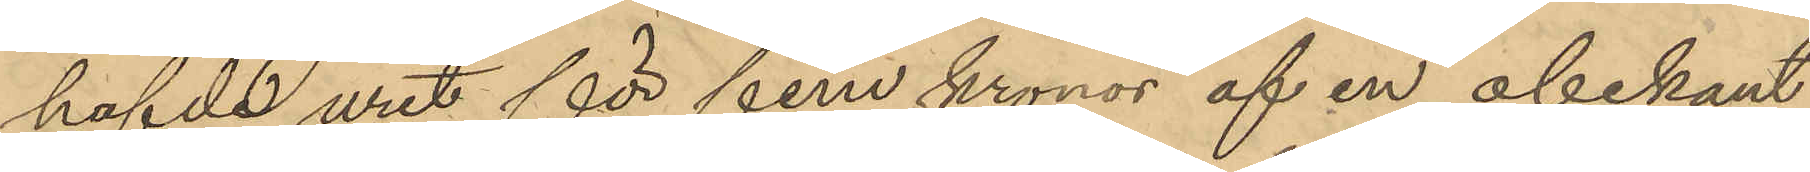hafde uret för fem kronor af en obekant
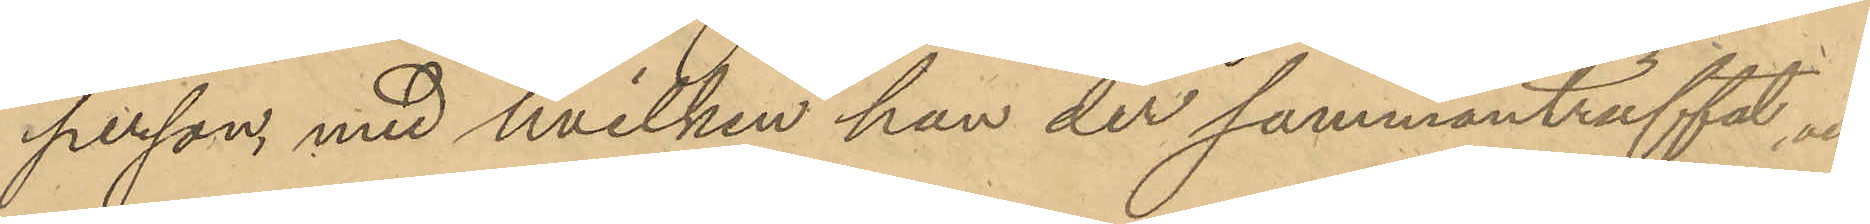person, med hvilken han der sammanträffat och
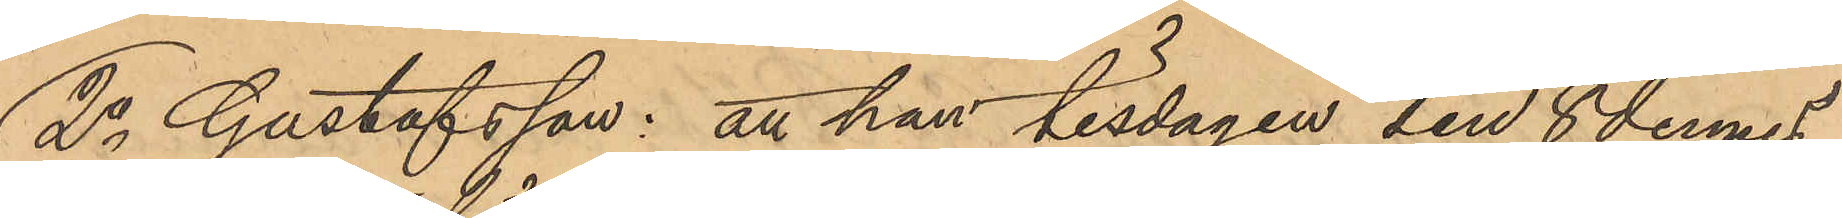2o Gustafsson: att han tisdagen den 8 dennes
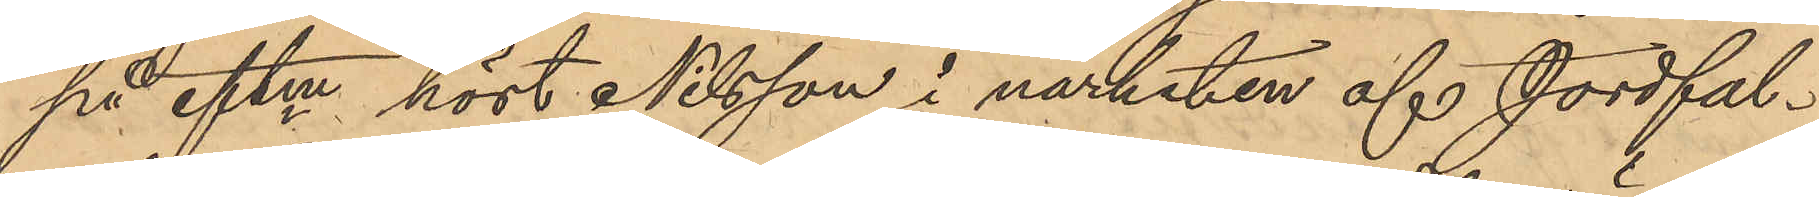på eftm hört Nilsson i närheten af Jordfal¬
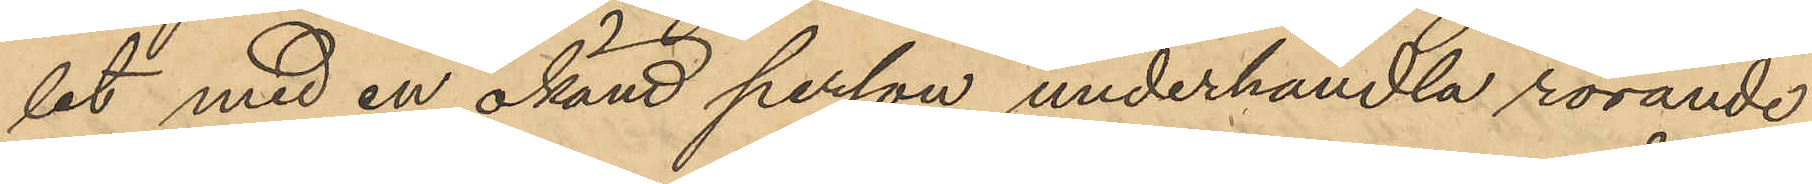let med en okänd person underhandla rörande
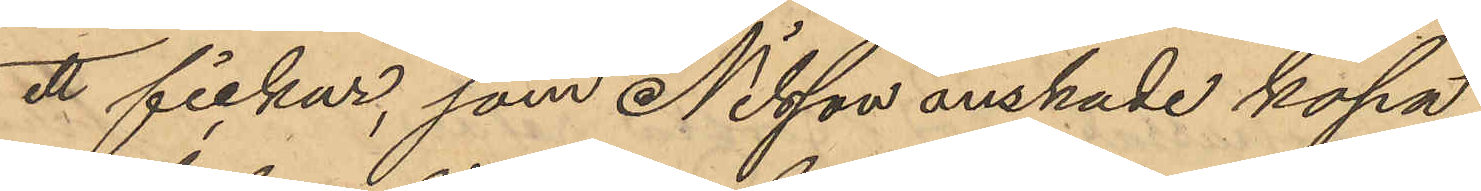ett fickur, som Nilsson önskade köpa
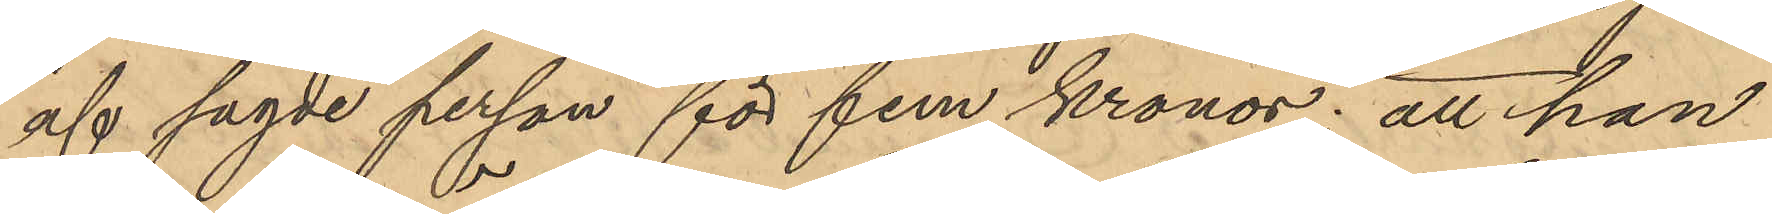af sagde person för fem kronor; att han
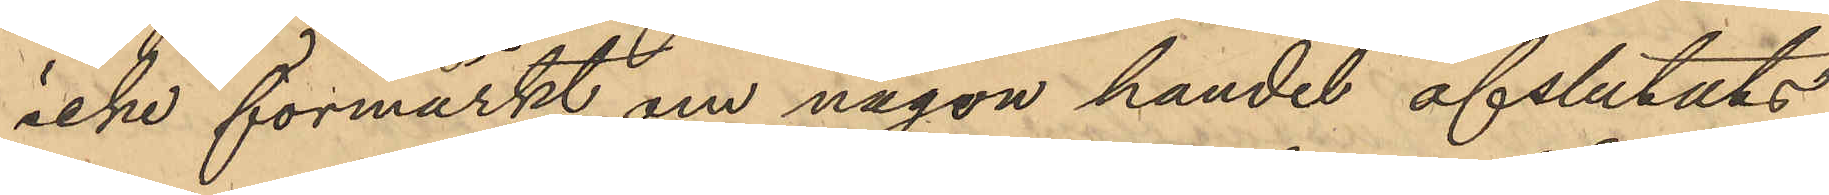icke förmärkt om någon handel afslutats
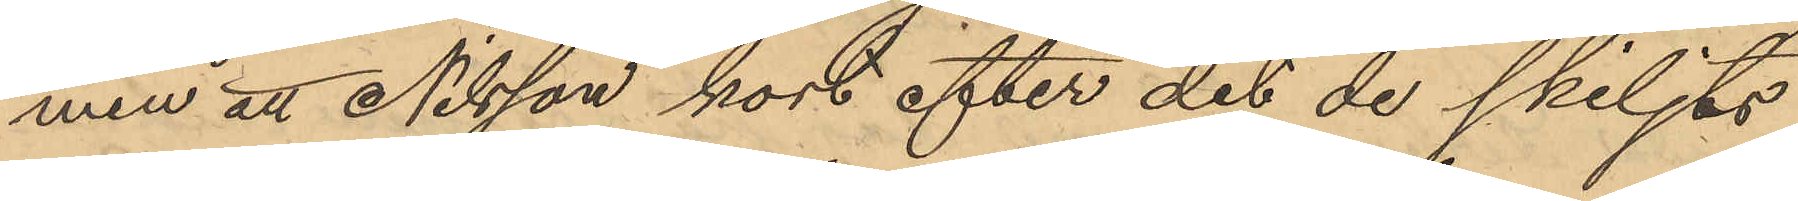men att Nilsson kort efter det de skiljts
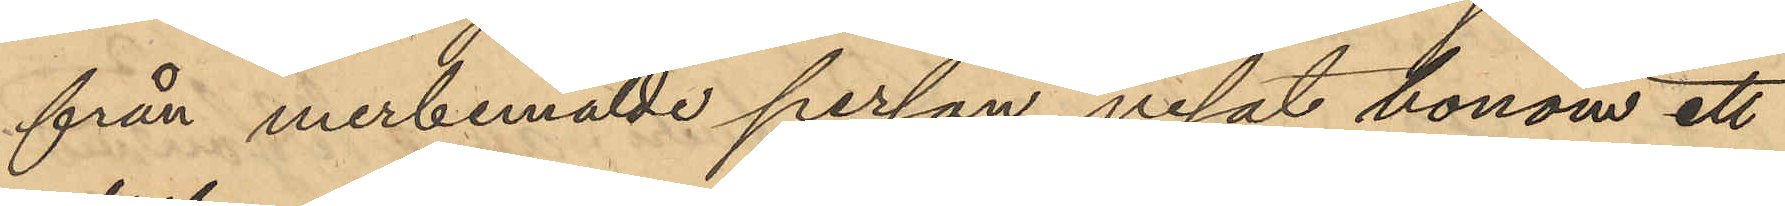från merbemälde person visat honom ett
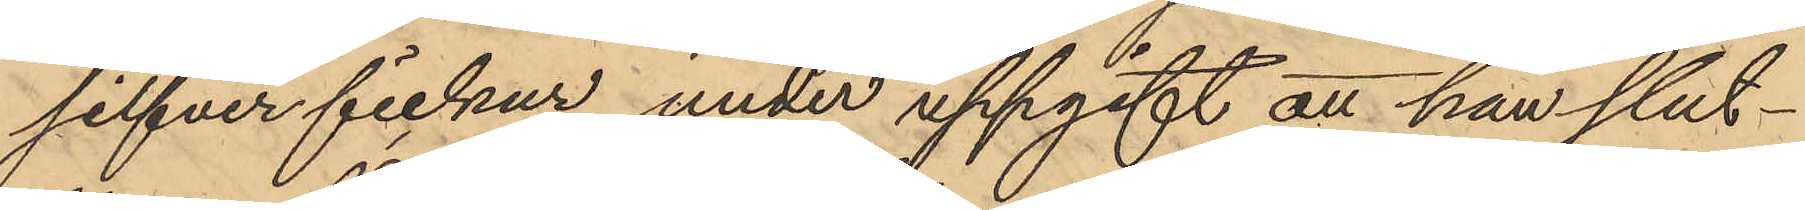silfver fickur under uppgift att han slut¬
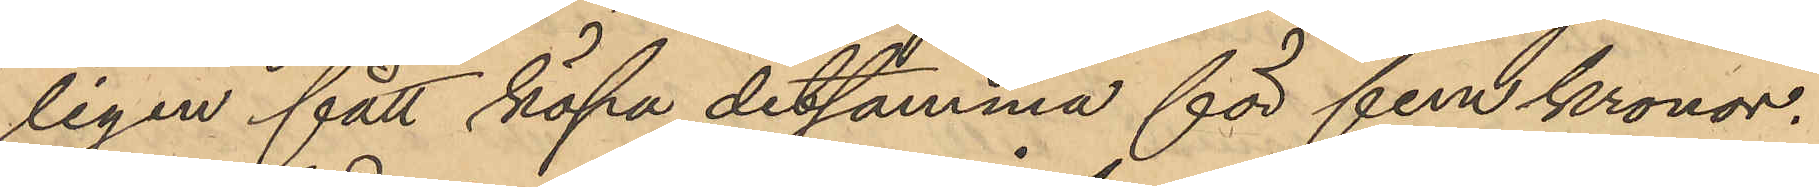ligen fått köpa detsamma för fem kronor.
